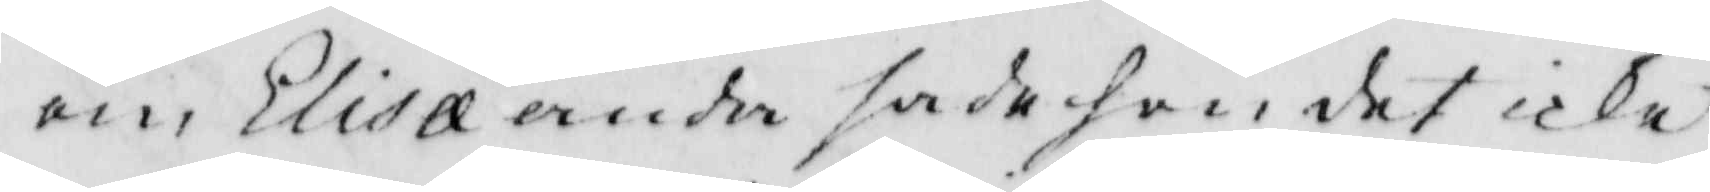om Elisll ande sade hon det icke
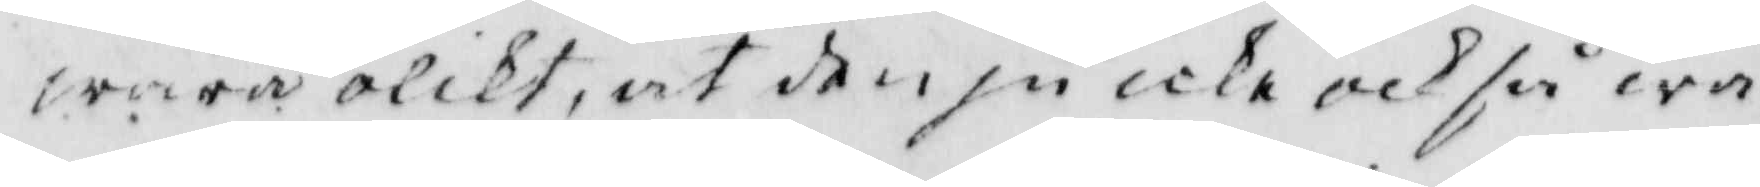wara olikt, at den ju icke och så wa¬
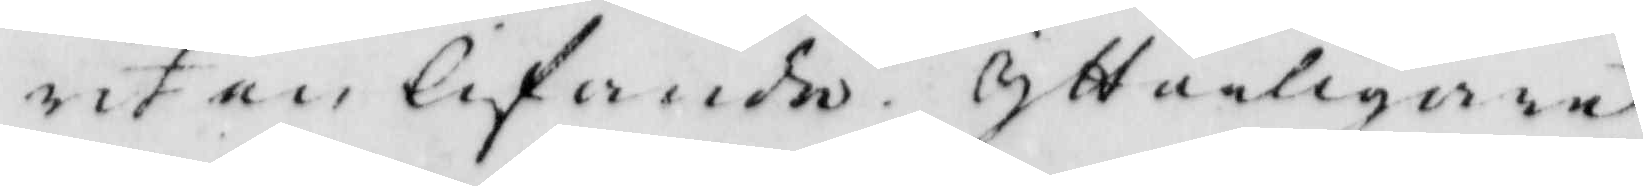rit en lifande. Ytterligare
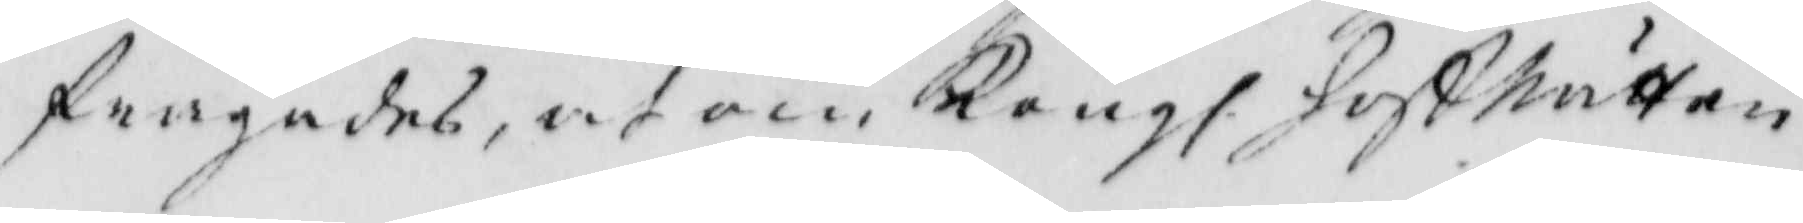frågades, at om Kongl. HoffRätten
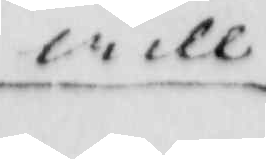will
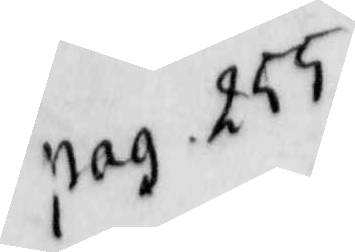pag. 255
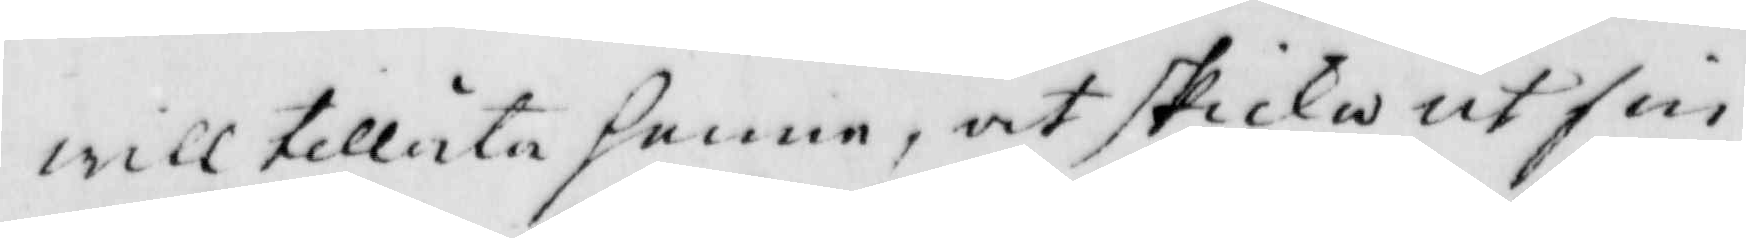will tillåta honom, at skicka ut sin
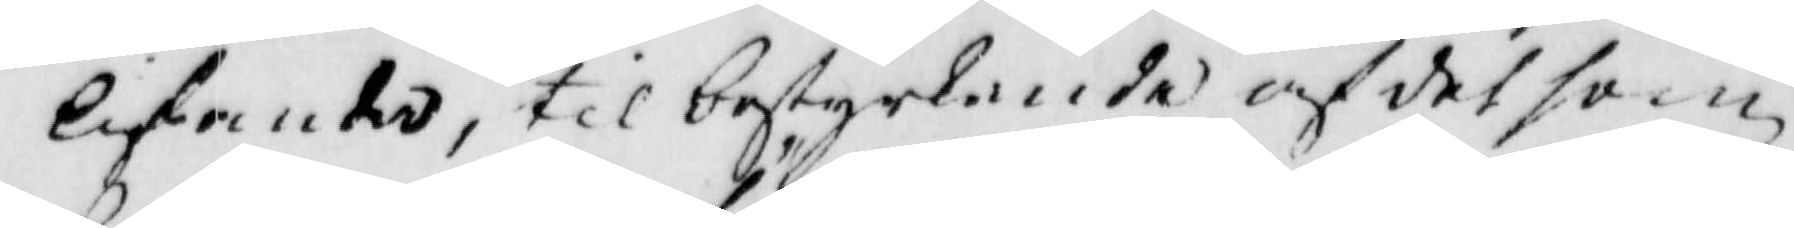lifande, til bestyrlande af det som
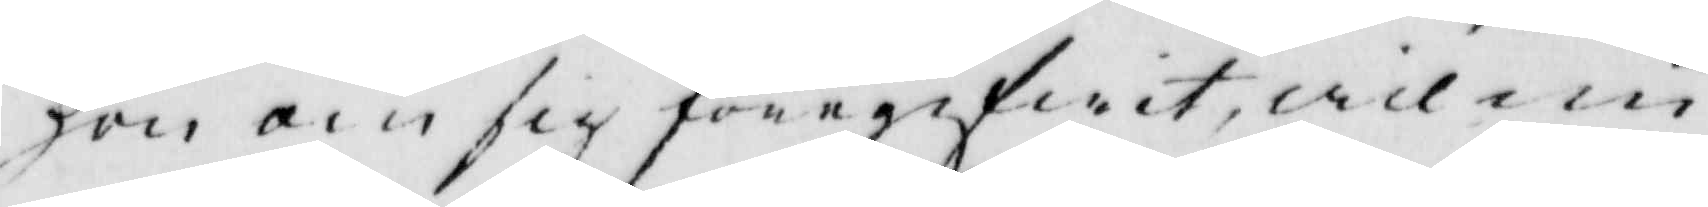hon om sig föregifwit, wil nu
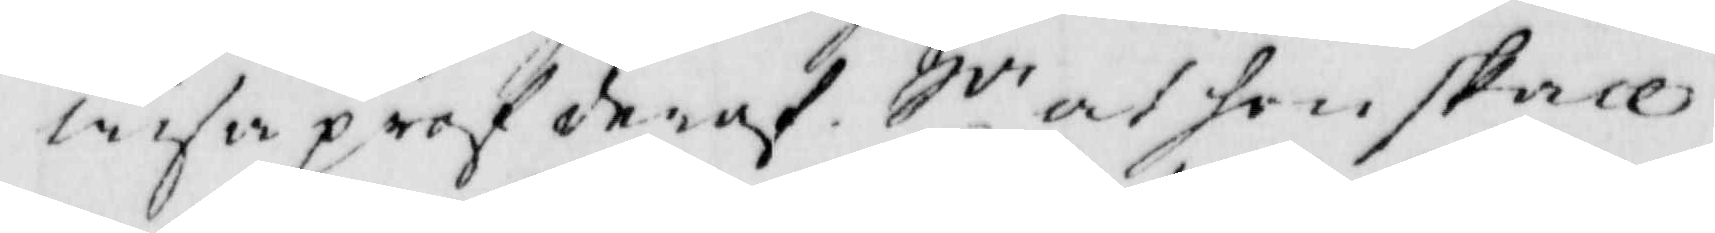wisa prof deraf. Sv at hon skall
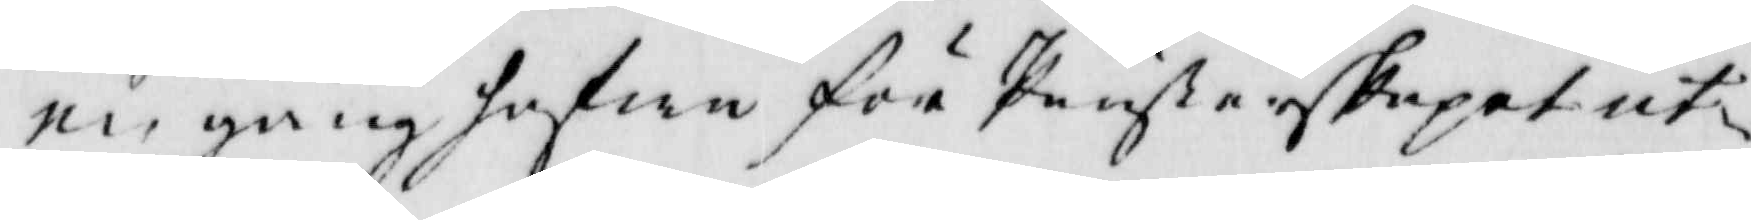en gång hafwa för Prästerskapet ut¬
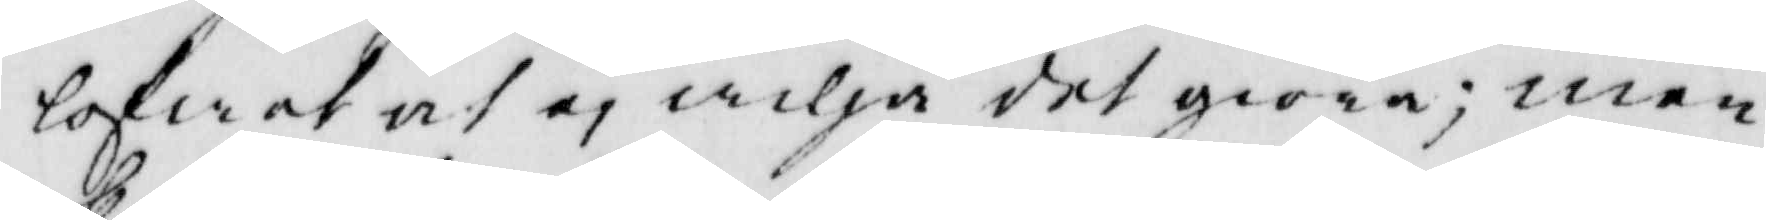lofwat at ej wilja det göra; men
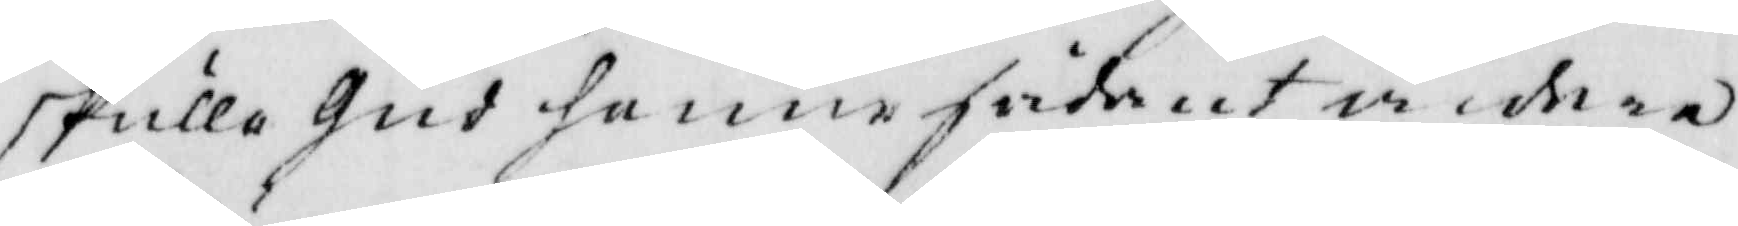skulle gud henne sådant widare
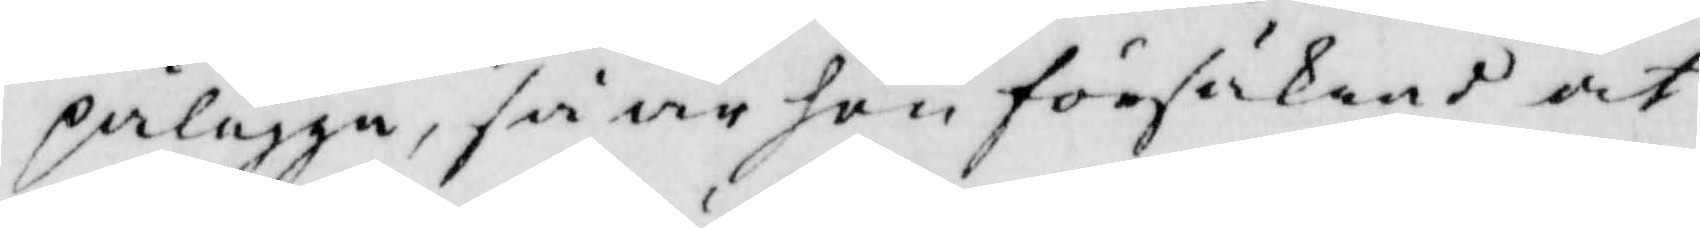pålägga, så är hon försäkrad at
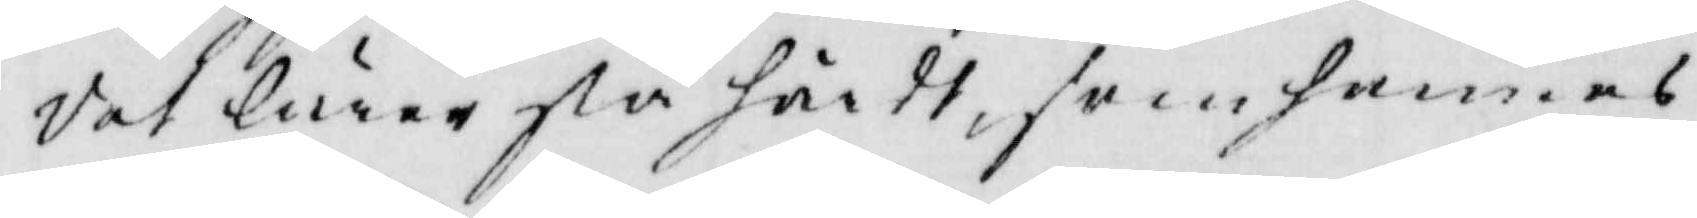Vot lärer så hördt, som hennes
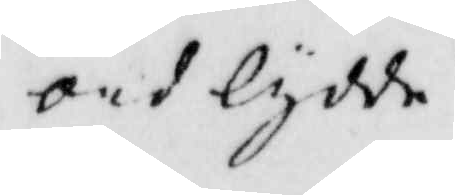ord lydde.
